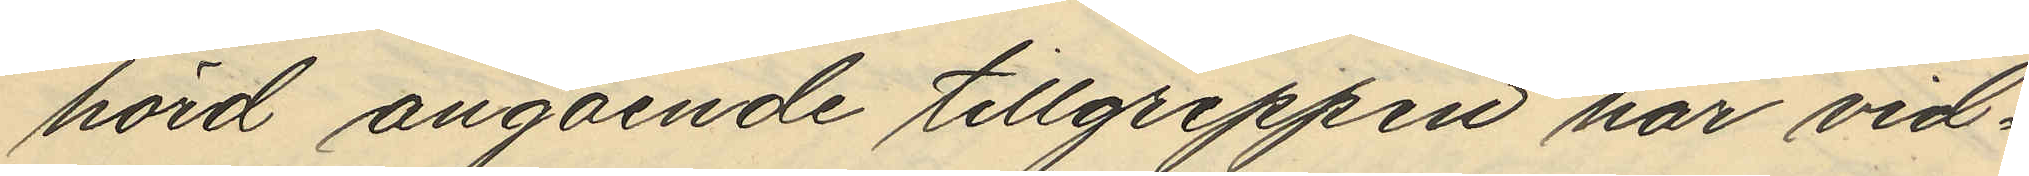hörd angående tillgreppen har vid¬
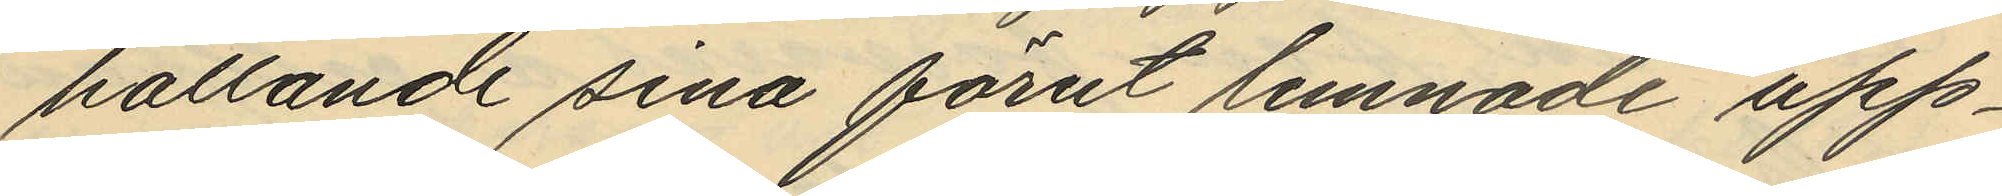hållande sina förut lemnade upp¬
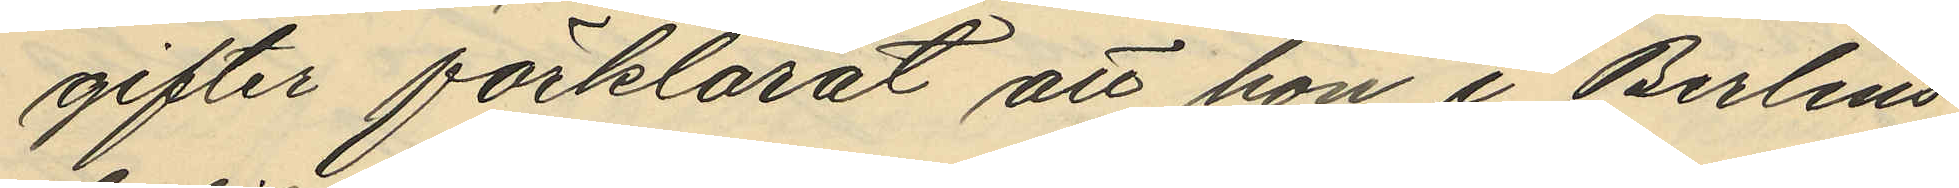gifter förklarat att hon i Berlins
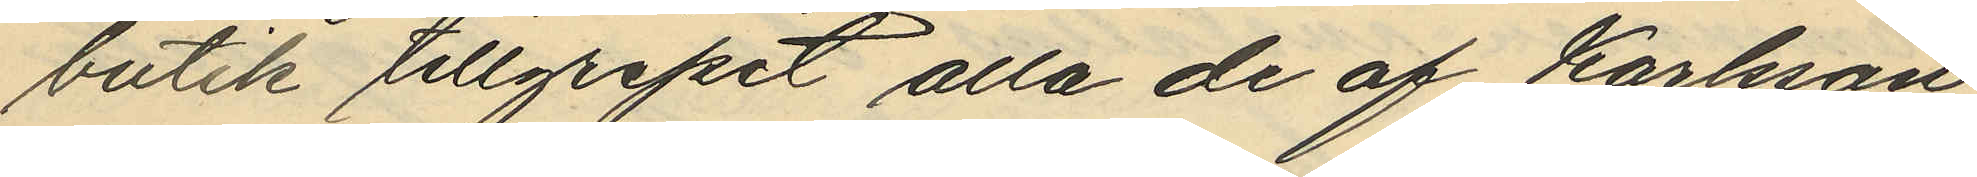butik tillgripit alla de af Karlsson
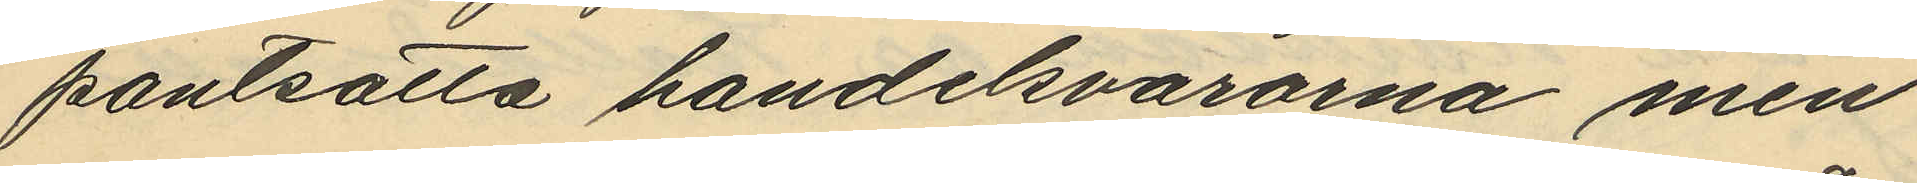pantsätta handelsvarorna men
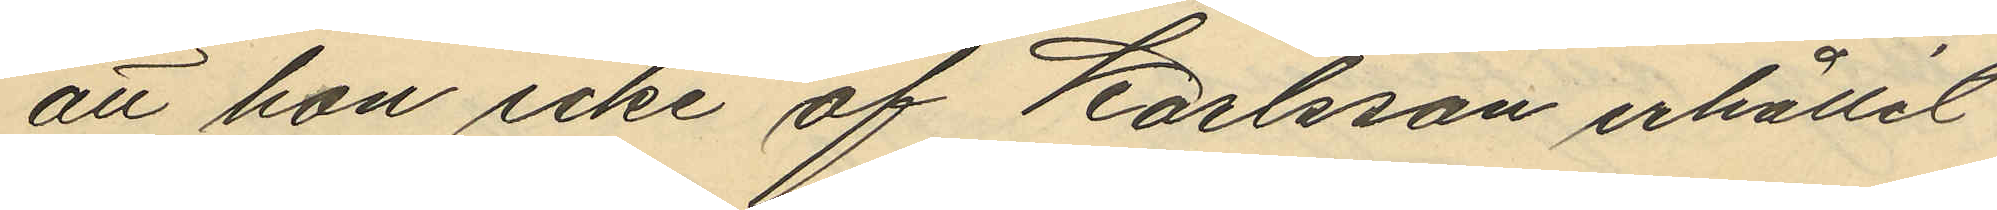att hon icke af Karlsson erhållit
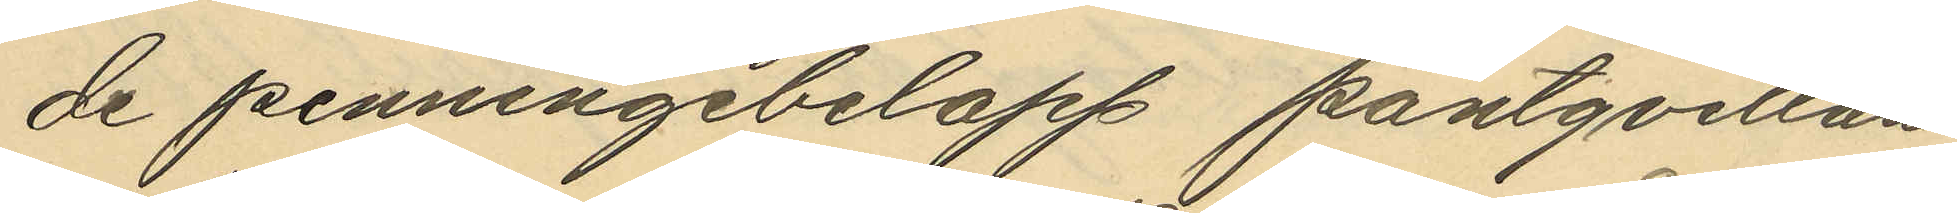de penningebelopp pantqvitton
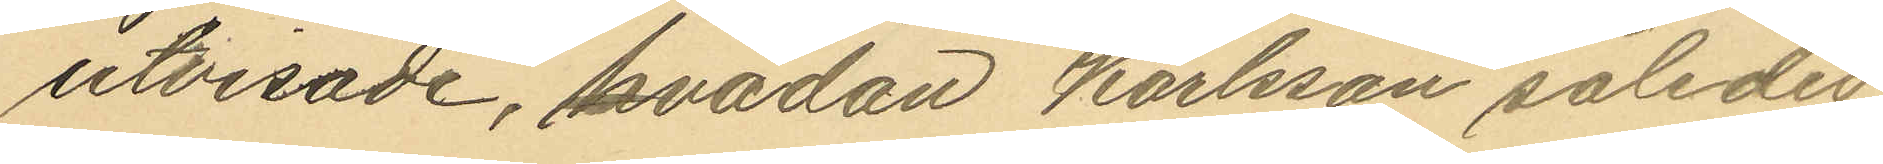utvisade, vadan Karlsson således
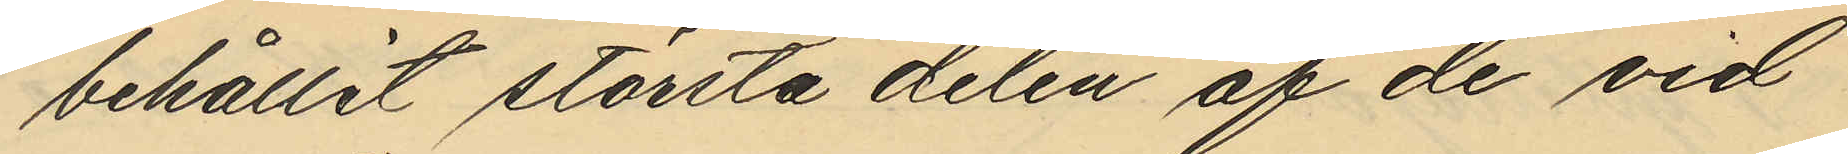behållit största delen af de vid
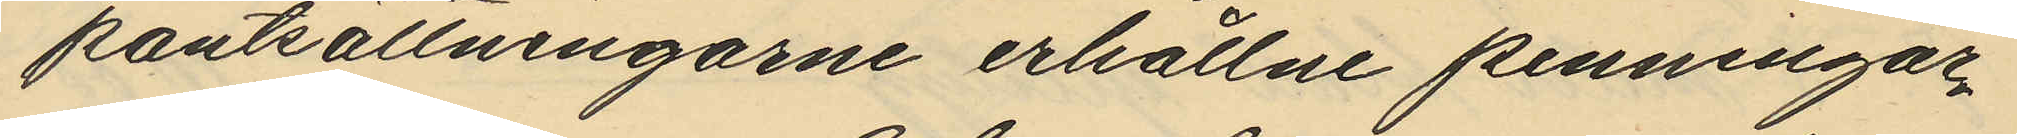pantsättningarne erhållne penningar¬
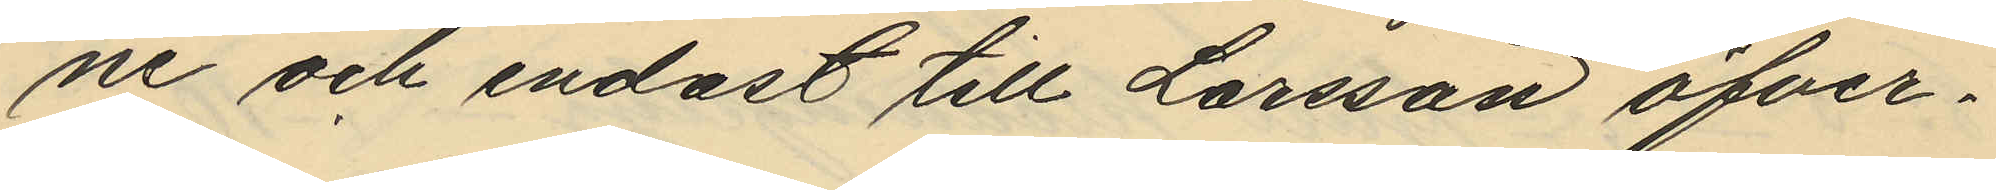ne och endast till Larsson öfver¬
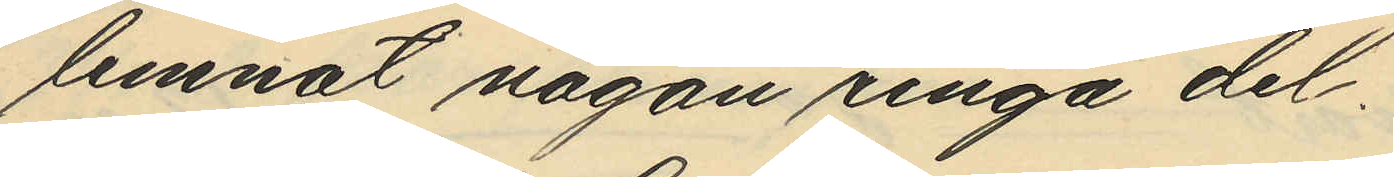lemnat någon ringa del,
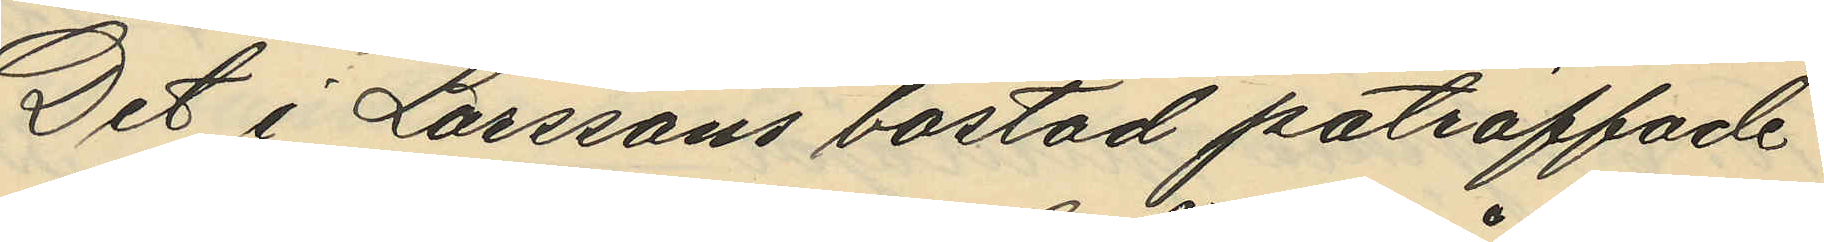Det i Larssons bostad påträffade
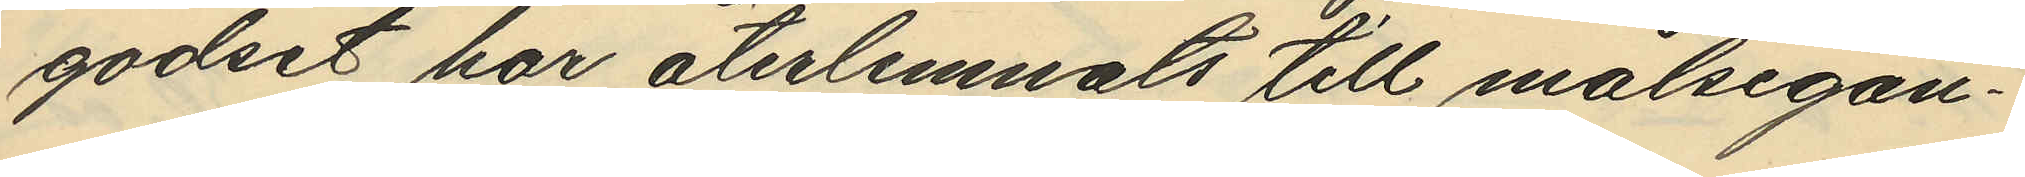godset har återlemnats till målsegan¬
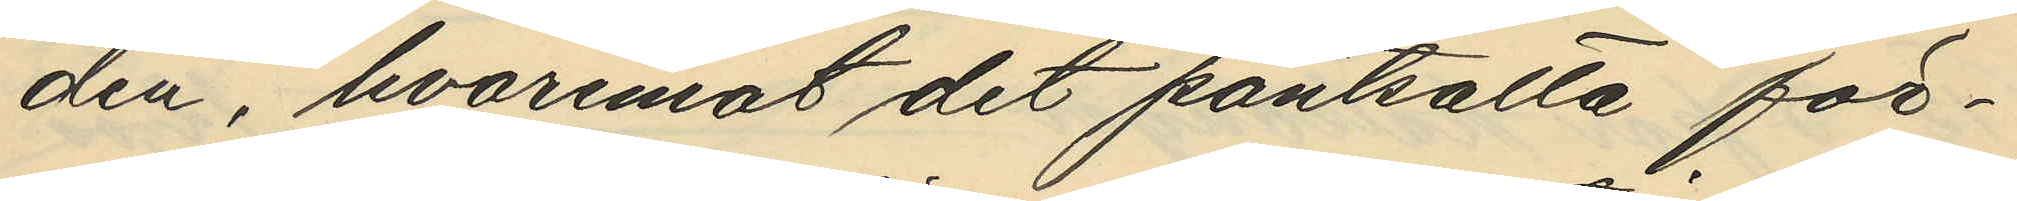den, hvaremot det pantsätta för¬
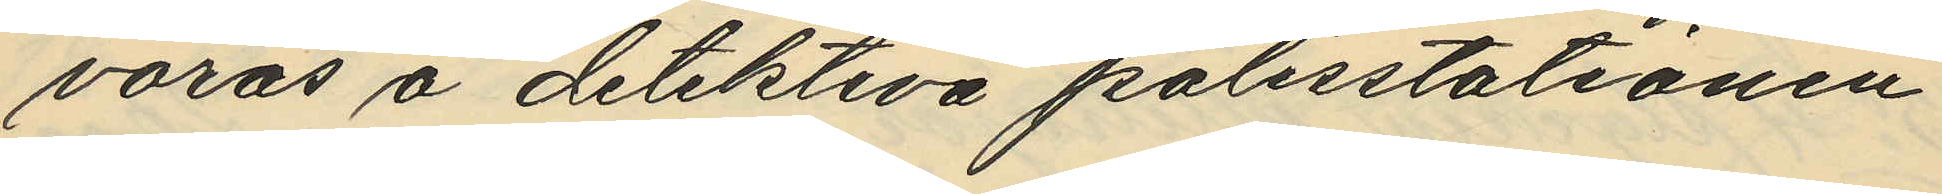varas å detektiva polisstationen
